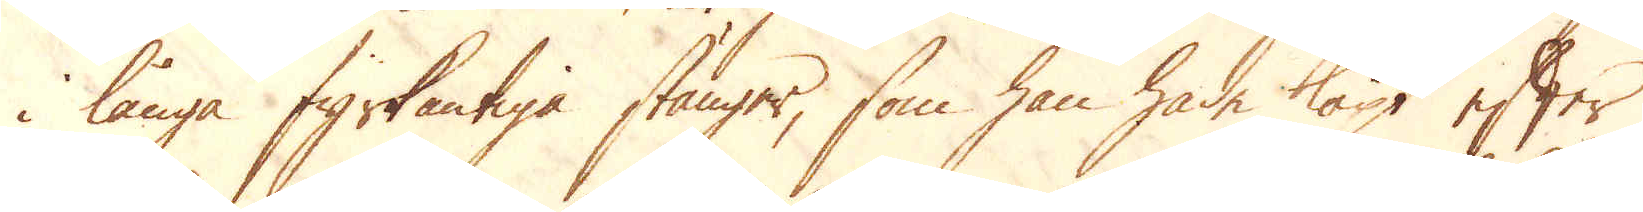i långa fyrkantiga stänger, som han hade köpt efter
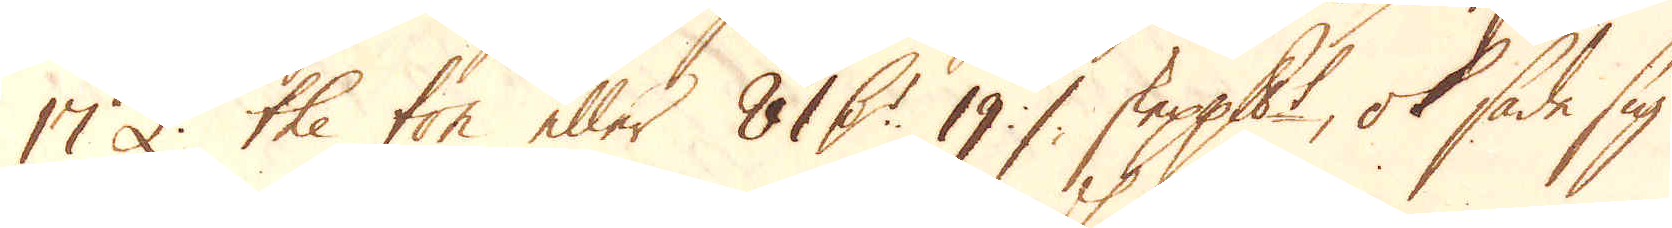17 £ the ton eller 81 D:r 19 % skeppundet, ok sade sig
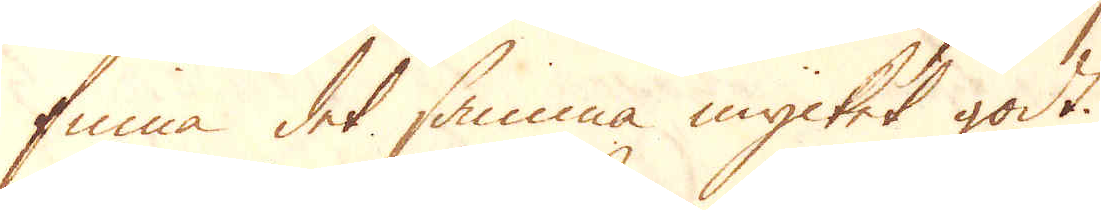finna det samma mycket godt.
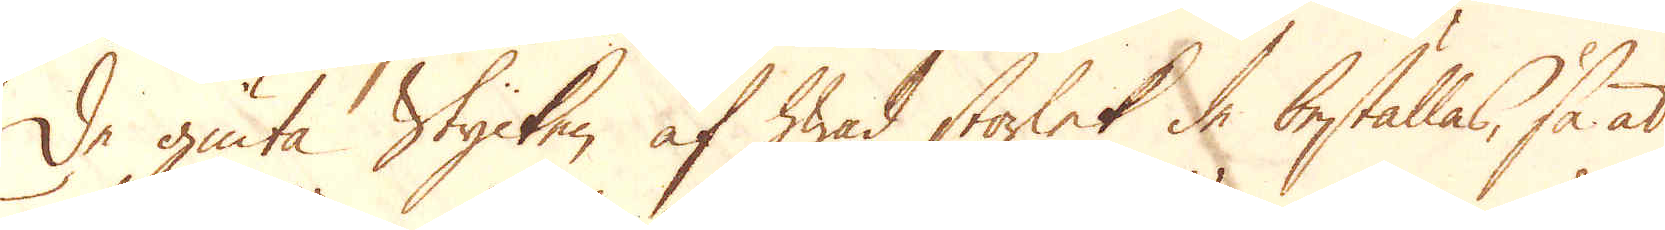De giuta Stycken af hwad storlek de beställas, så at
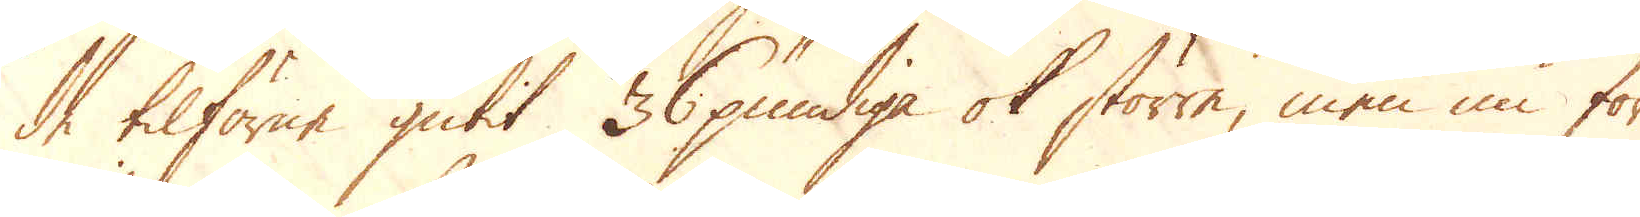de tilförne gutit 36 pundiga ok större, men nu för
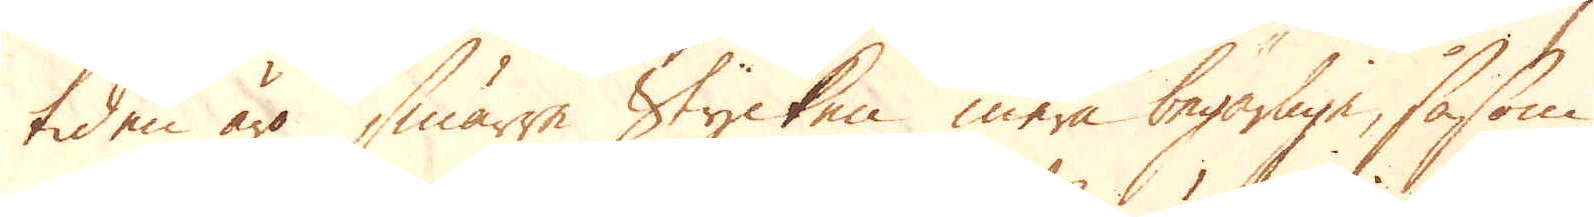tiden äro smärre Stycken mera begärlige, såsom
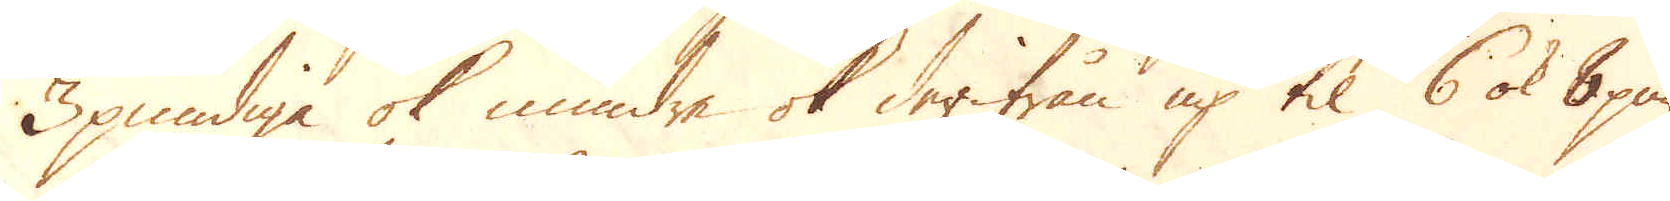3 pundige ok mindre ok derifrån up til 6 ok 8 pun-
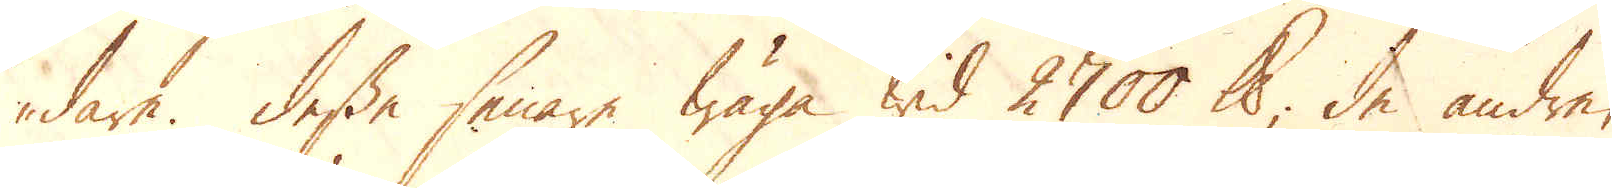dare. Desse senare wäga wid 2700 skålpund, de andre,
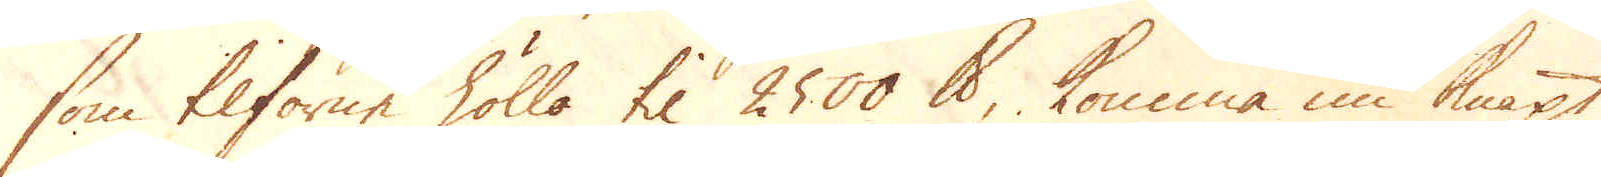som tilförne höllo til 2500 skålpund, komma nu knapt,
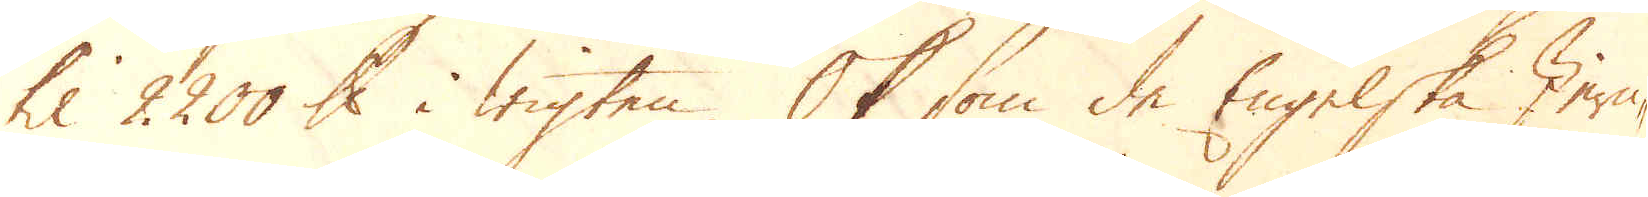til 2000 skålpund i wigten. Ok som de Engelska Jern-
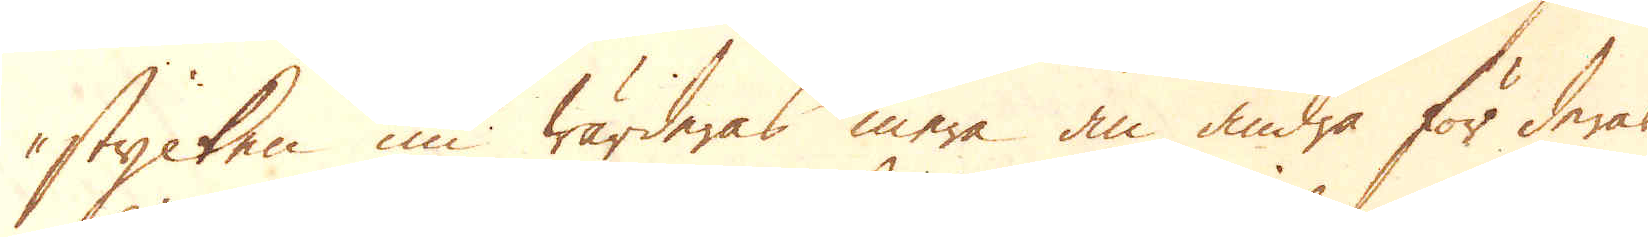stycken nu wärderas mera än andra för deras
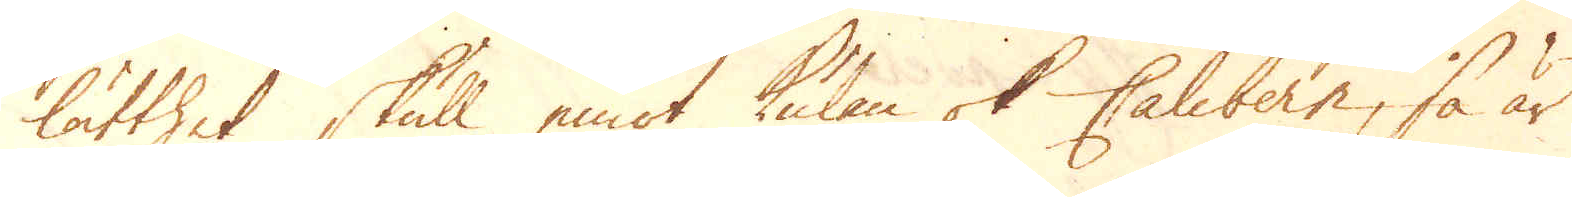lätthet skull emot kulan ok Calibern, så är
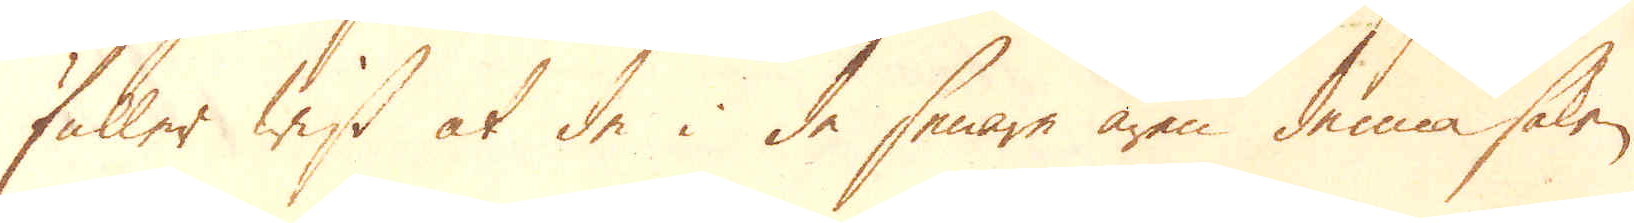fuller wist at de i de senare åren denna saken
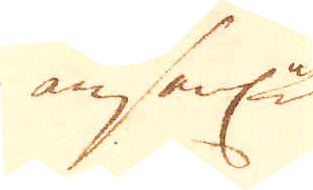ansenl-
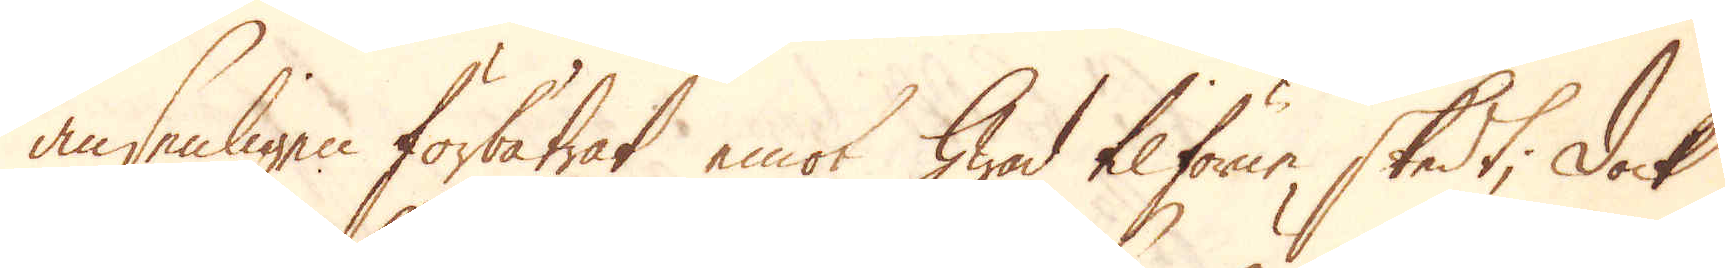ansenligen förbätrat emot hwad tilförne skedt, dock
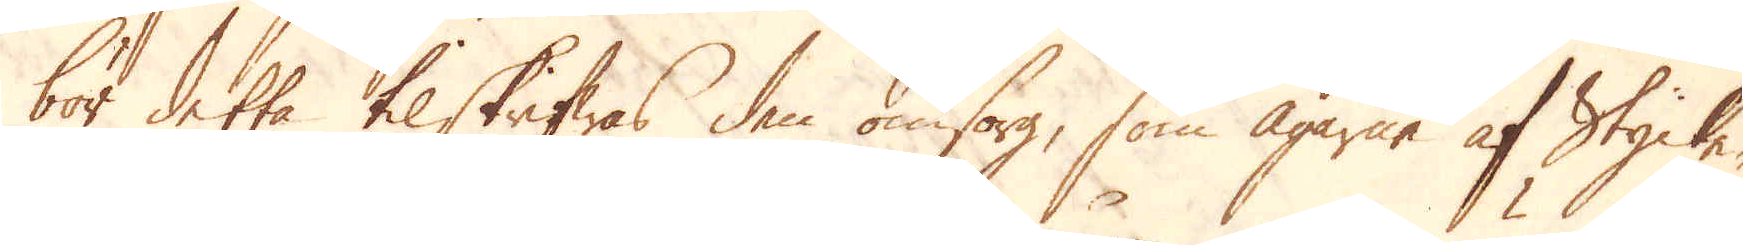bör detta tilskrifwas den omsorg, som Ägarne af Stycke-
